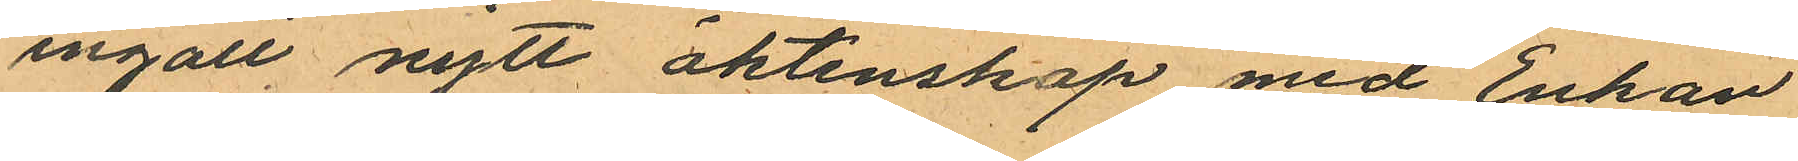ingått nytt äktenskap med Enkan
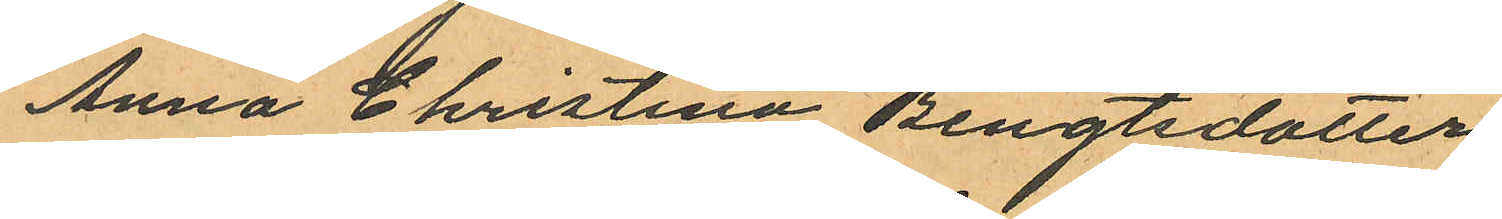Anna Christina Bengtsdotter
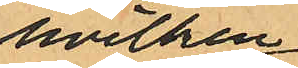hvilken
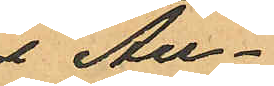i Au¬
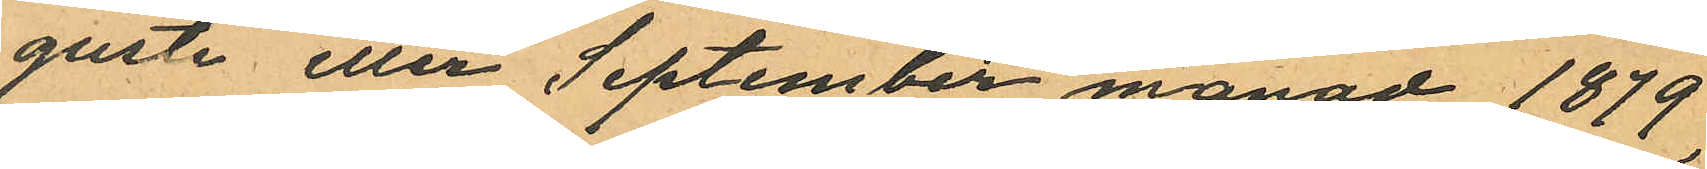gusti eller September månad 1879
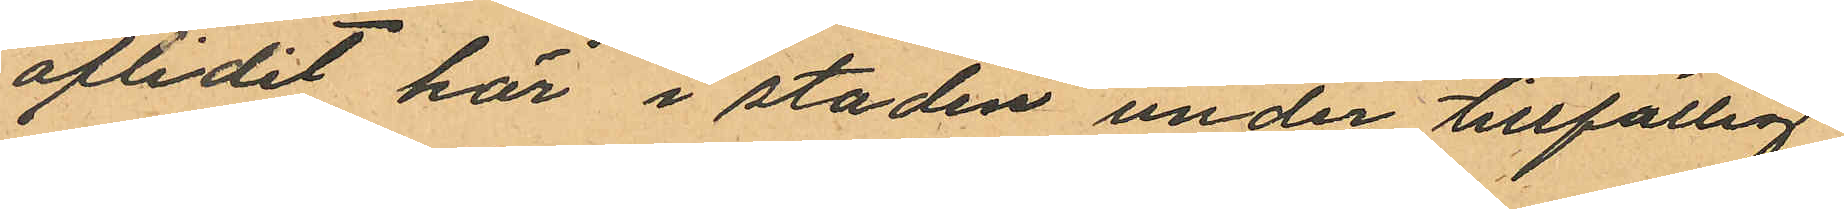aflidit här i staden under tillfällig
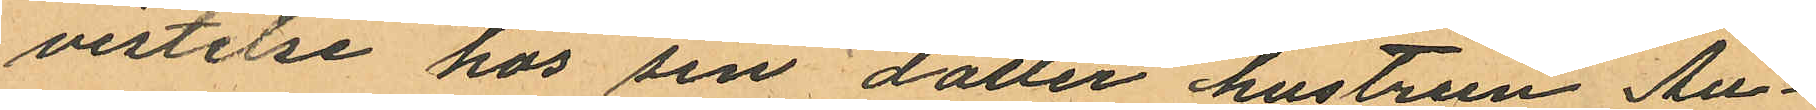vistelse hos sin dotter hustrun Au¬
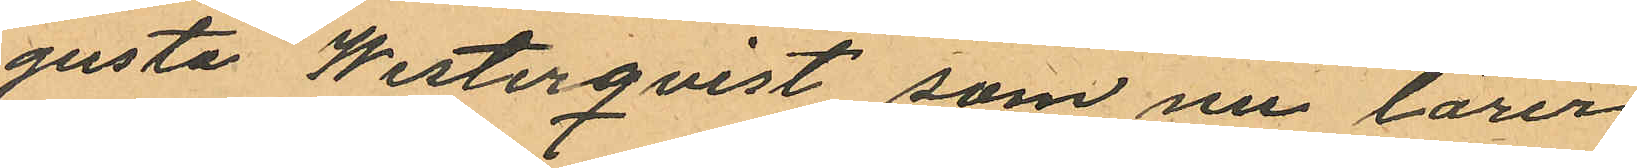gusta Westerqvist som nu lärer
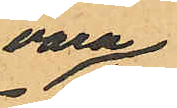vara
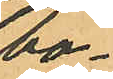bo¬
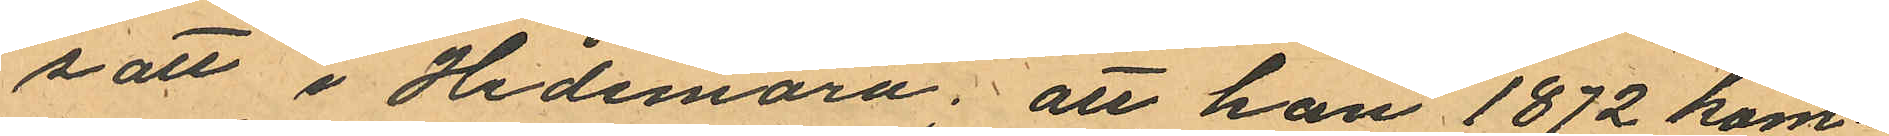sätt i Hedemora; att han 1872 kom¬
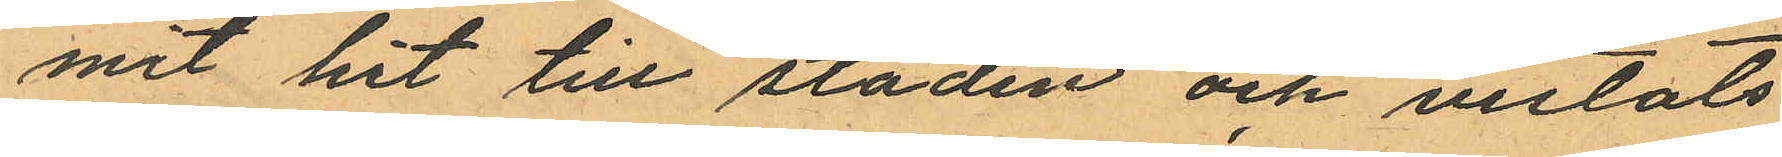mit hit till staden och vistats
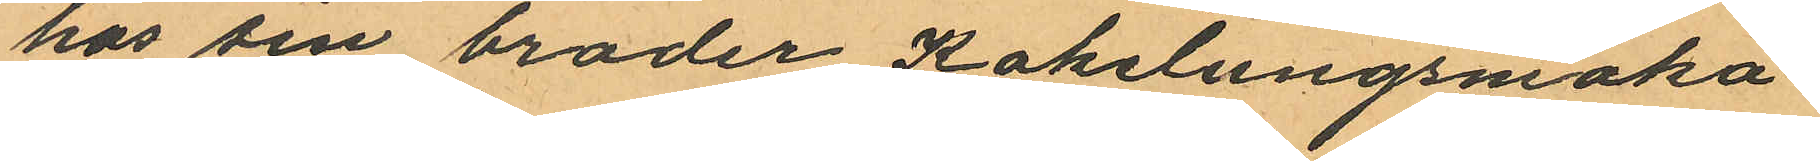hos sin broder Kakelungsmaka¬
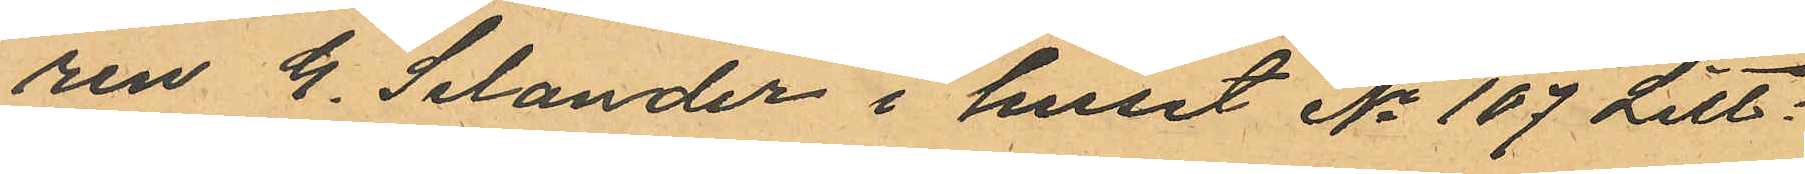ren G. Selander i huset No 107 Litt:
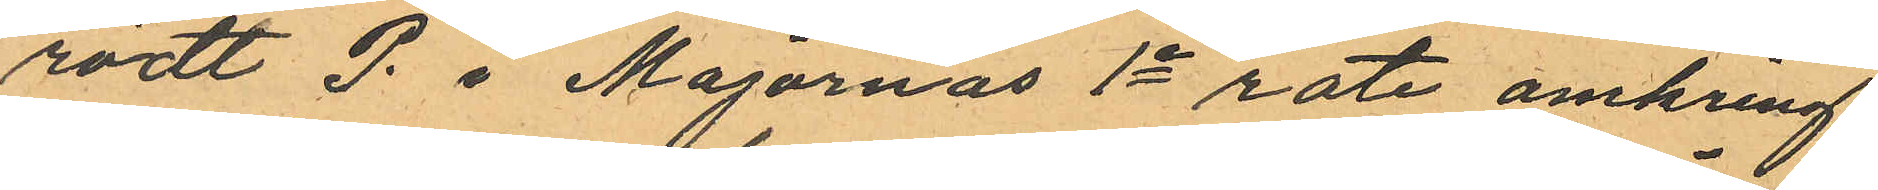rödt P. i Majornas 1e rote omkring
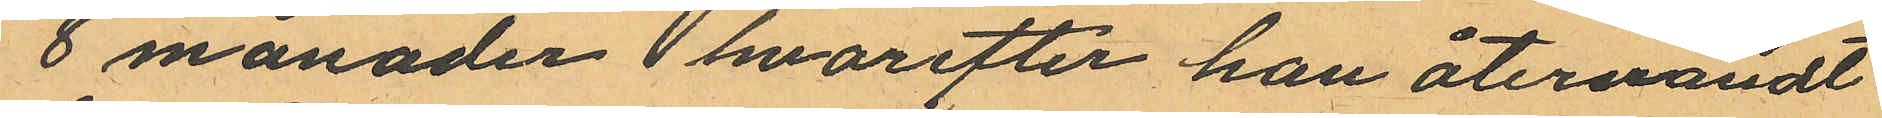8 månader hvarefter han återvändt
